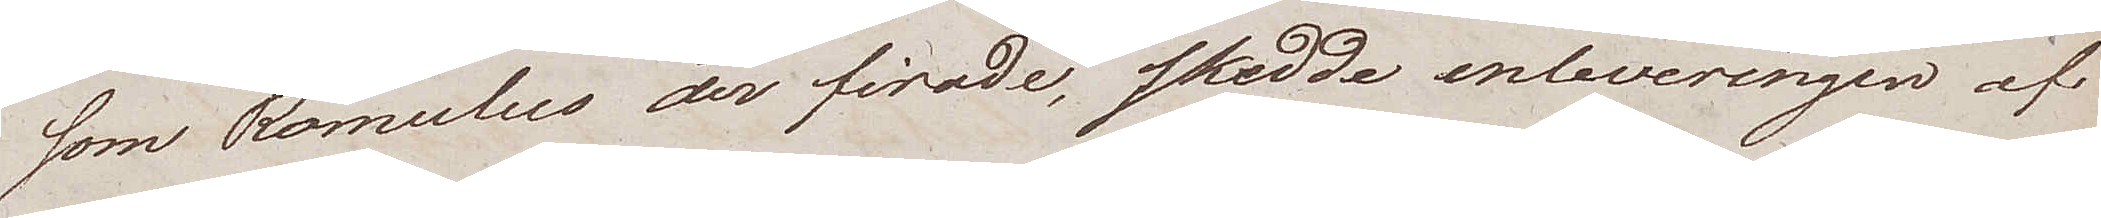som Romulus der firade, skedde inleveringen af
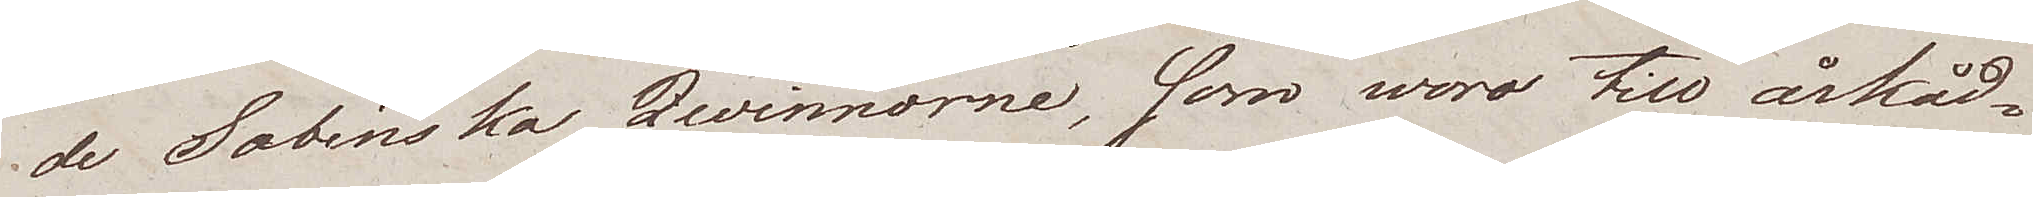de Sabinska Qvinnorne, som woro till åskåd¬
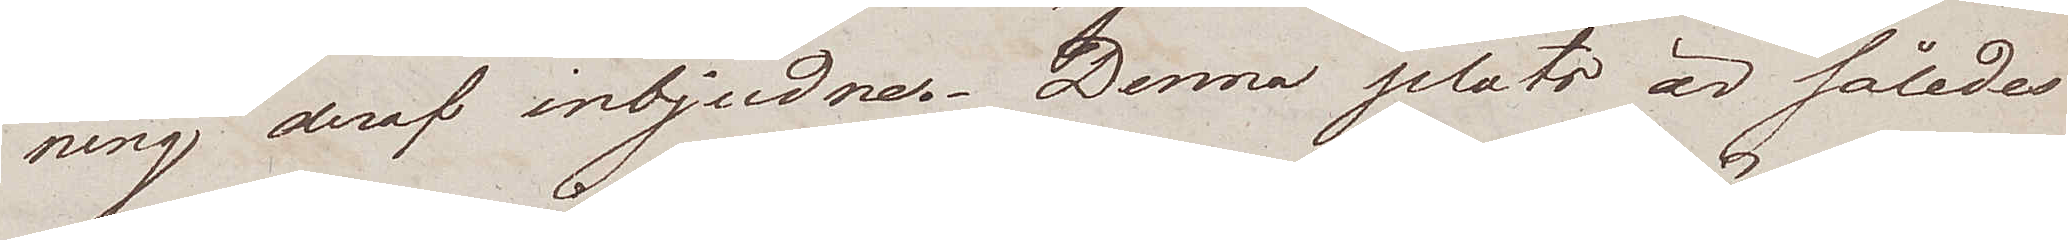ning deraf inbjudne. Denna plats är således
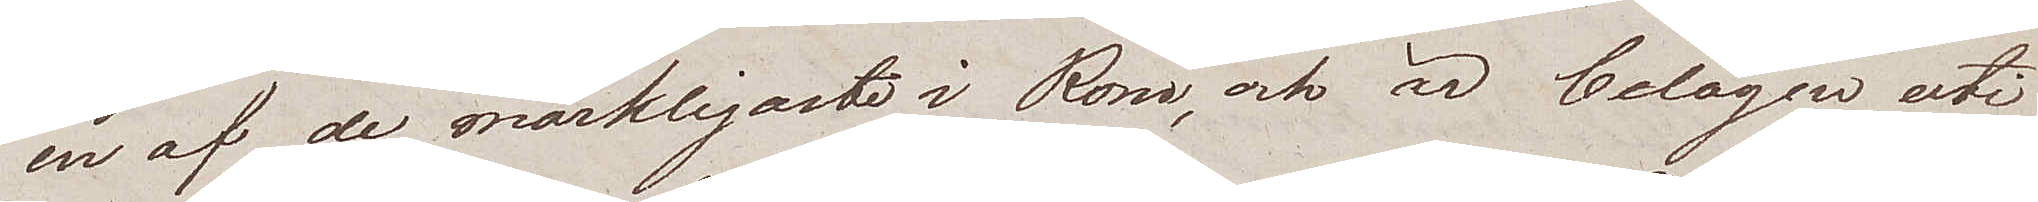en af de märkligaste i Rom, och är belägen uti
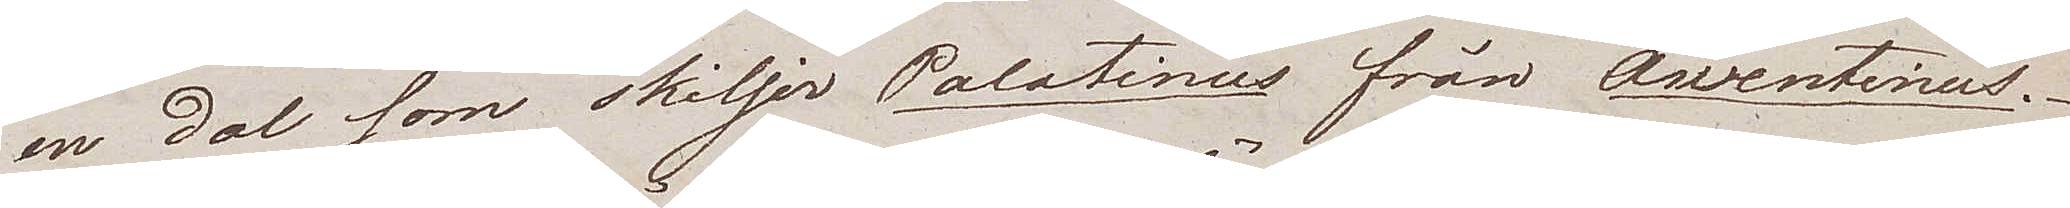en dal som skiljer Palatinus från Awentinus.
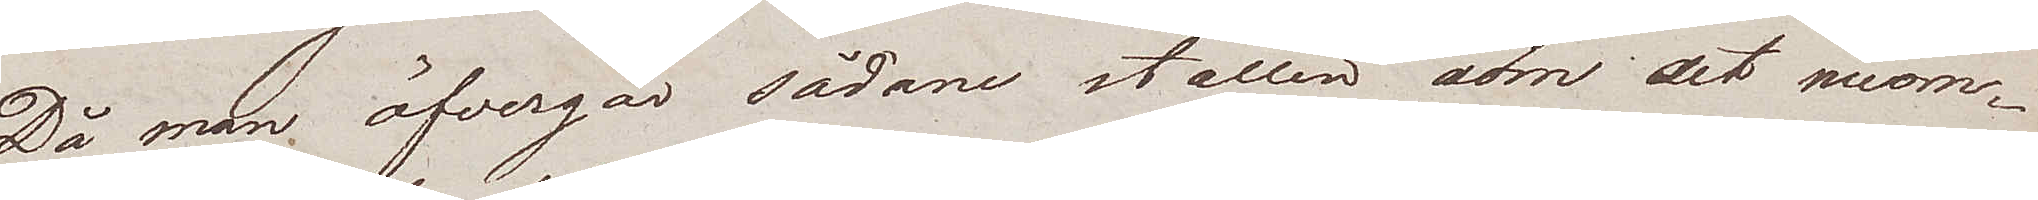Då man öfvergår sådane ställen som det nuom¬
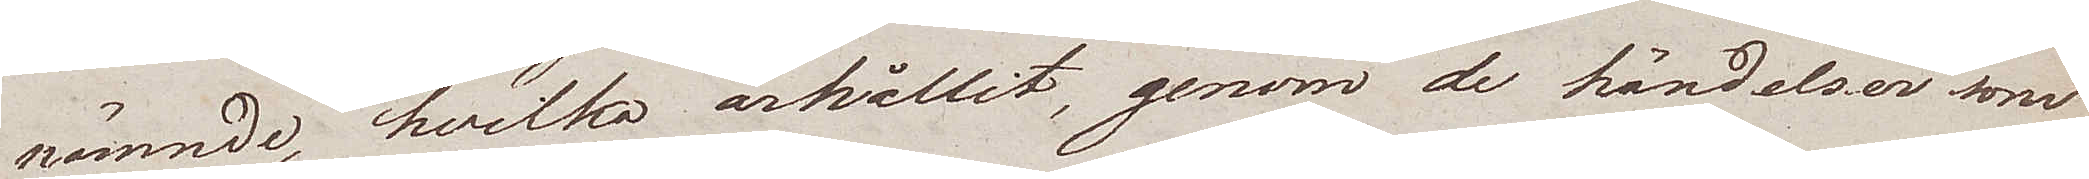nämnde, hvilka ärhållit, genom de händelser som
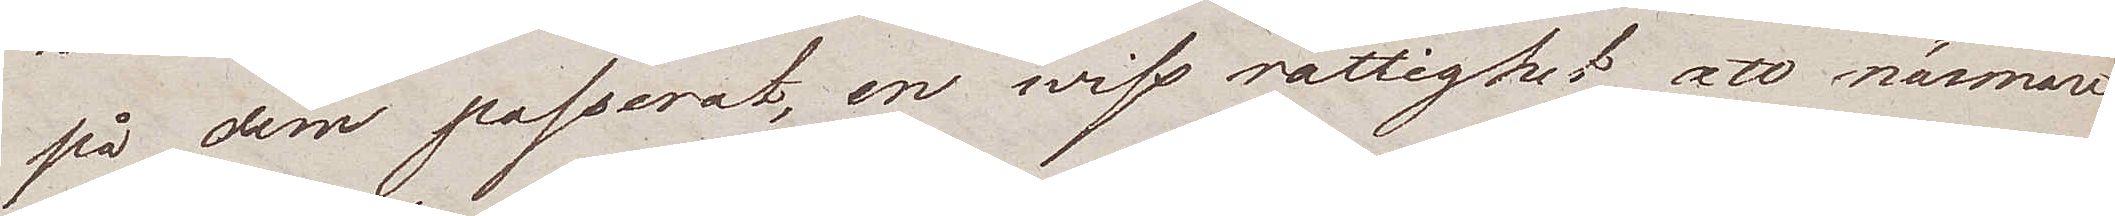på dem passerat, en wiss rättighet att närmare
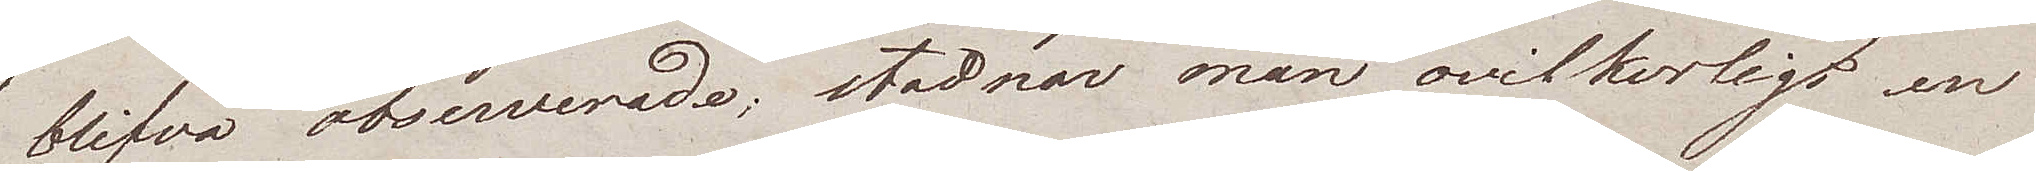blifva observerade; stadnar man ovilkorligt en
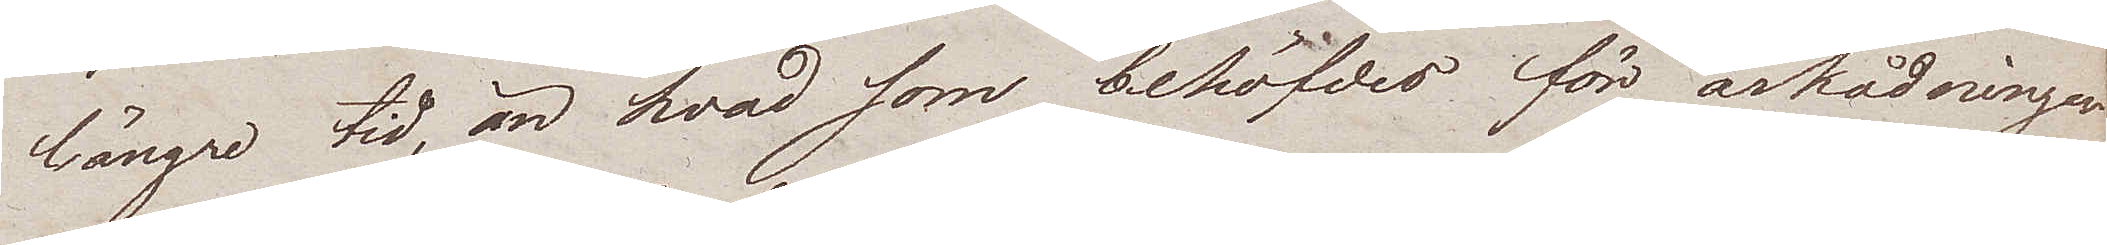längre tid, än hvad som behöfdes för åskådningen
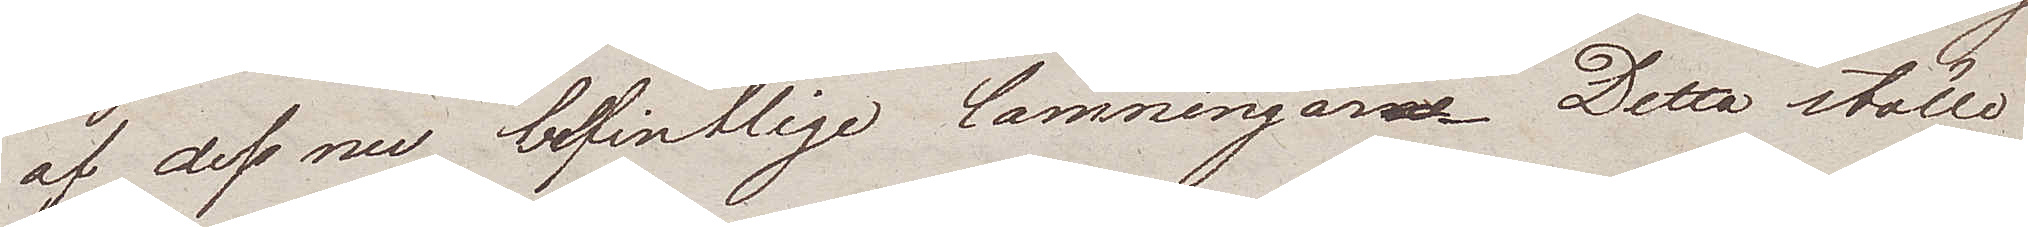af dess nu befintlige lämningar. Detta ställe
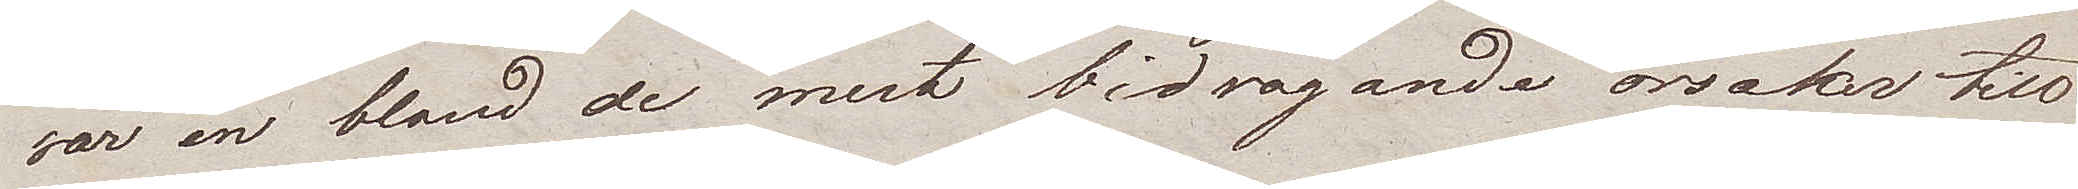var en bland de mest bidragande orsaker till
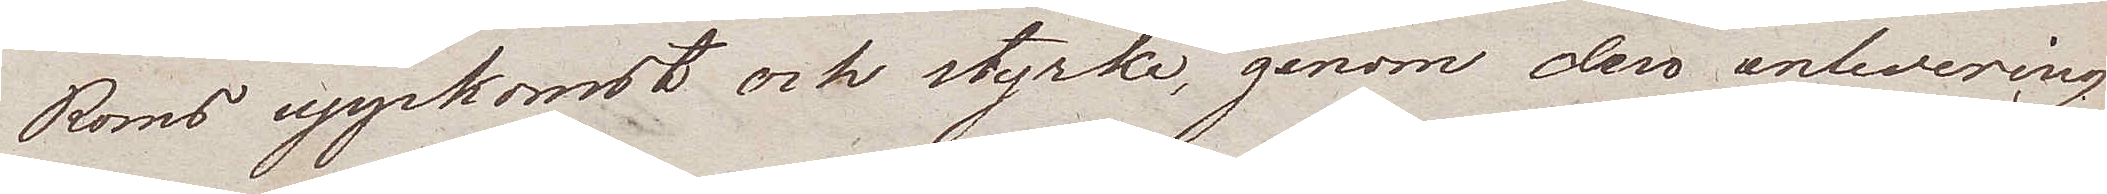Roms uppkomst och styrka, genom den enlevering
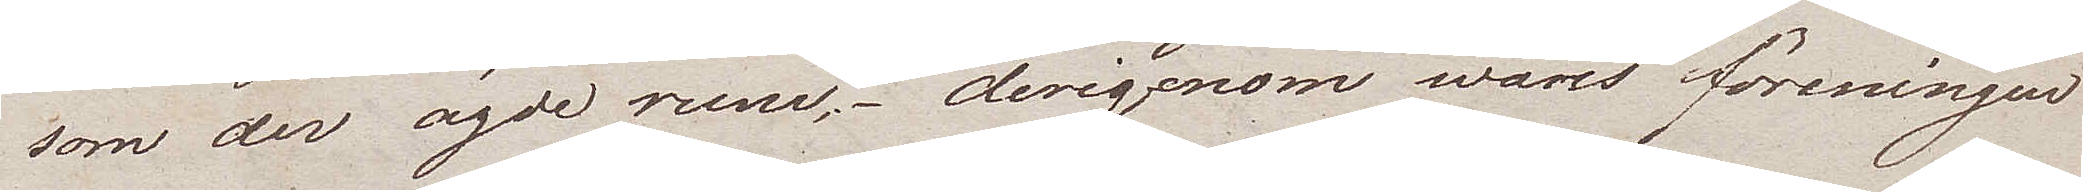som der ägde rum, derigenom wares föreningen
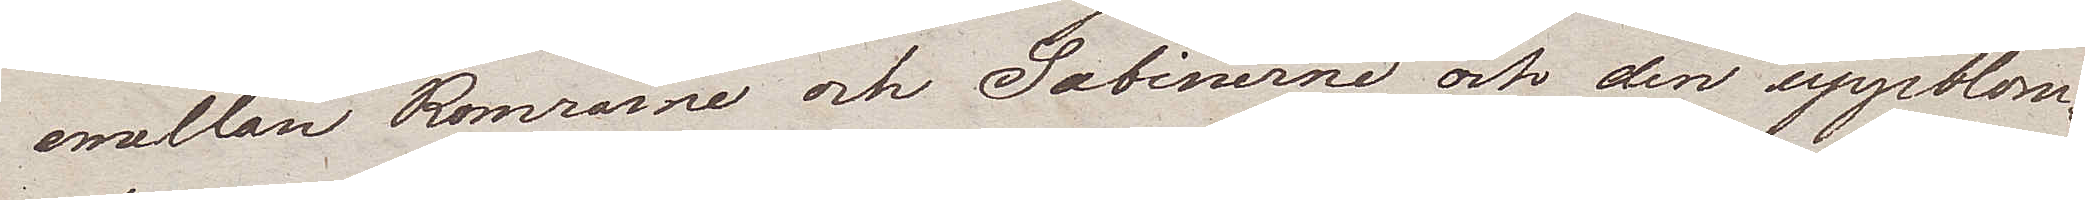emellan Romrarne och Sabinerne, och den uppblom¬
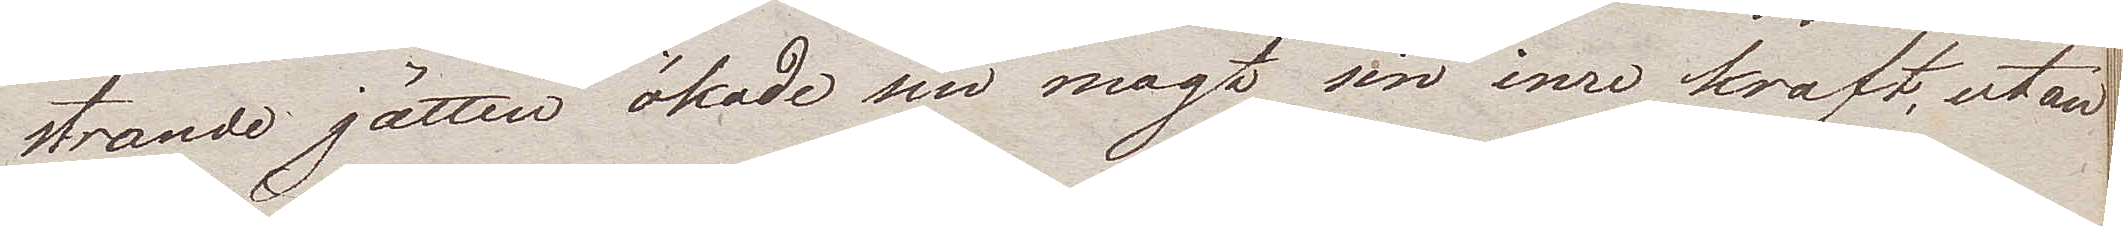strande jätten ökade sin magt sin inre kraft, utan
